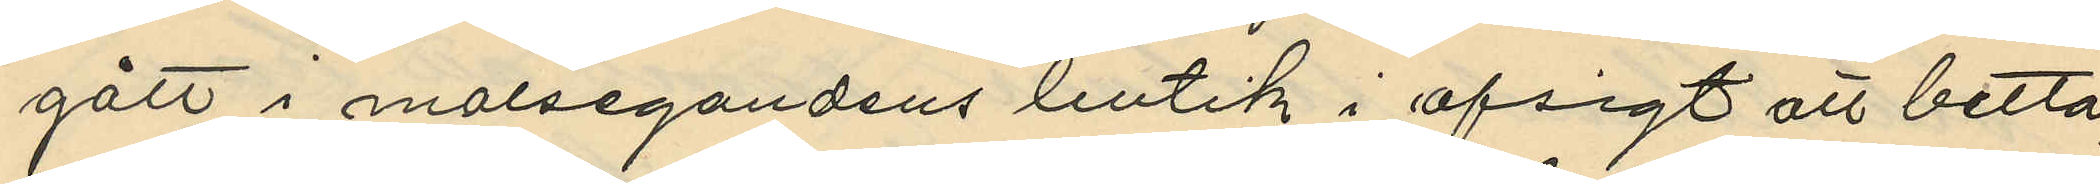gått i malsegandens butik i afsigt att betla;
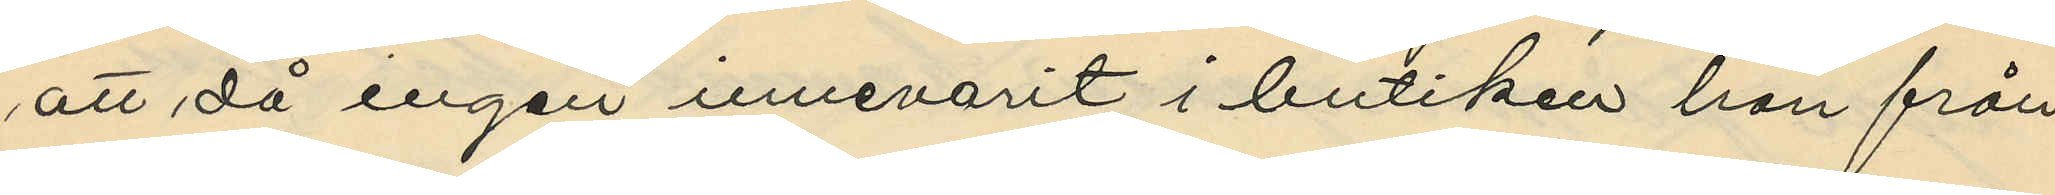att då ingen innevarit i butiken han från
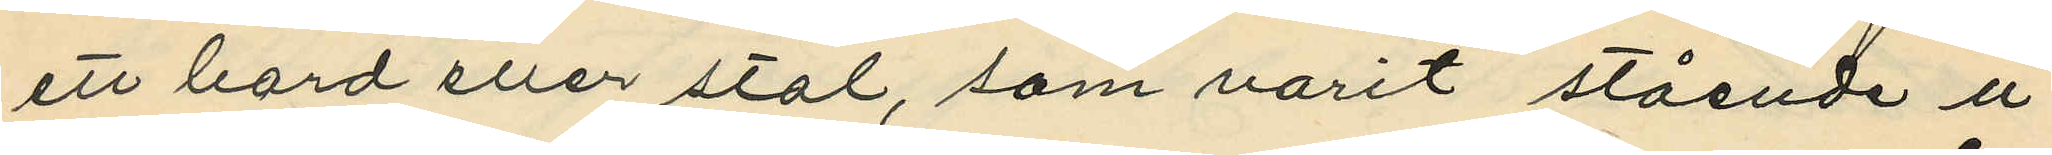ett bord eller stol, som varit stående u¬
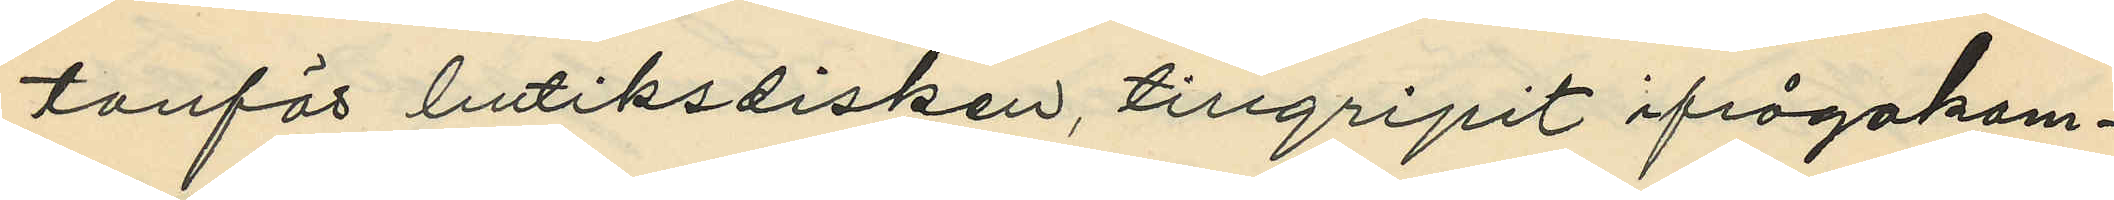tanför butiksdisken, tillgripit ifrågakom¬
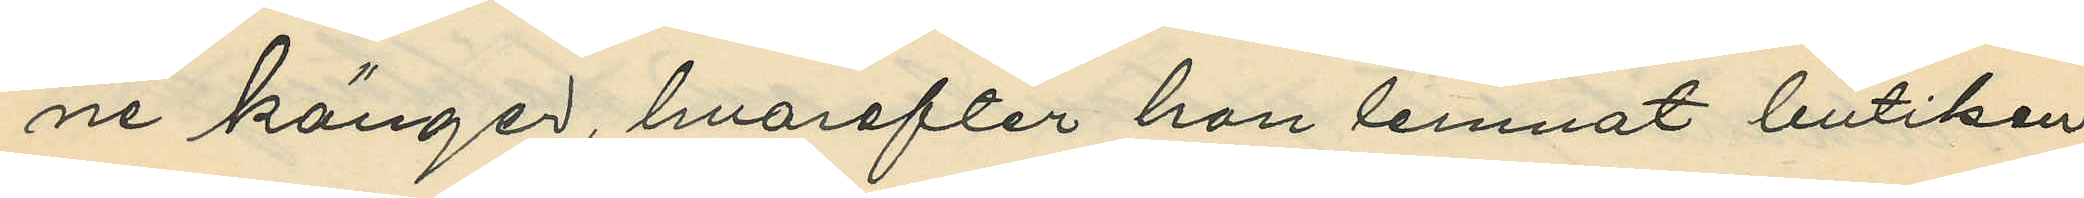ne känger, hvarefter han lemnat butiken
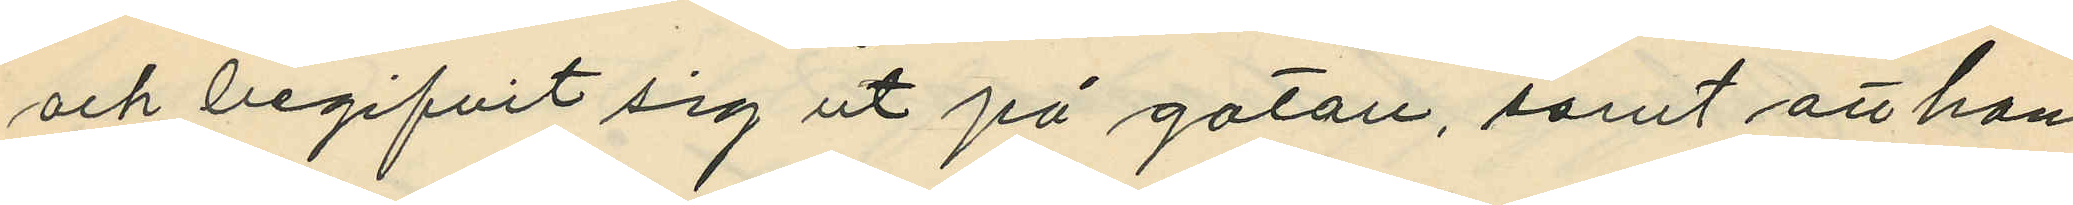och begifvit sig ut på gatan, samt att han
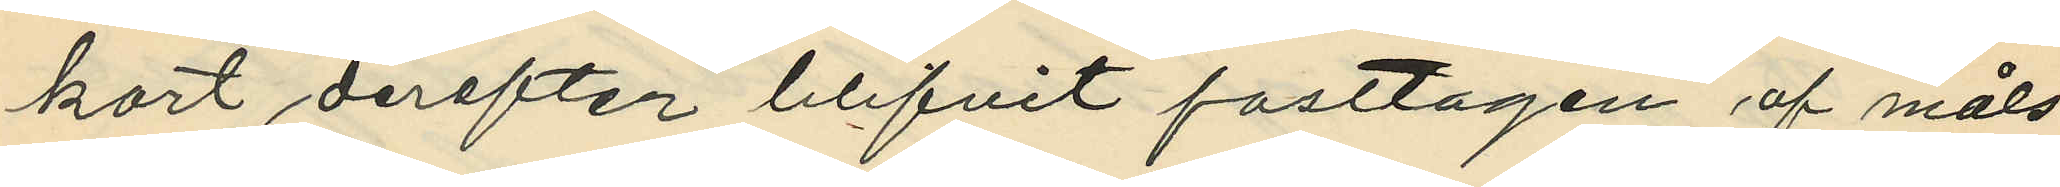kort derefter blifvit fasttagen af måls¬
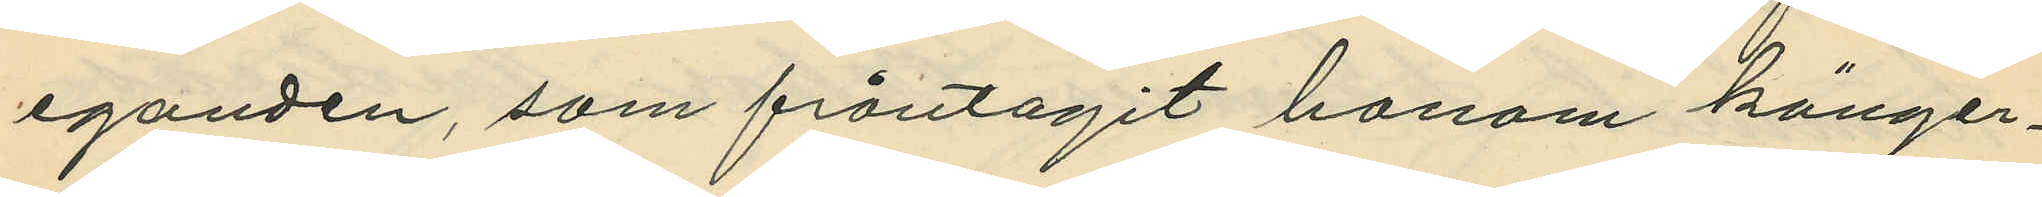eganden, som fråntagit honom känger¬
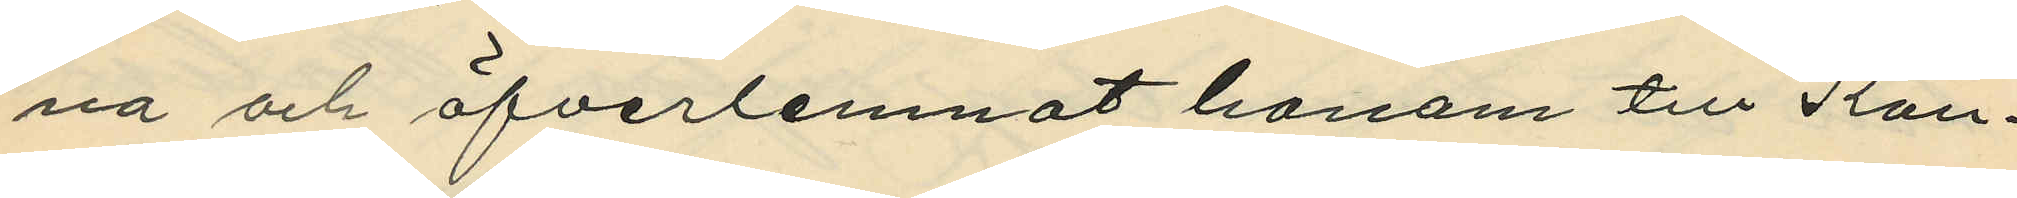na och öfverlemnat honom till Kon¬
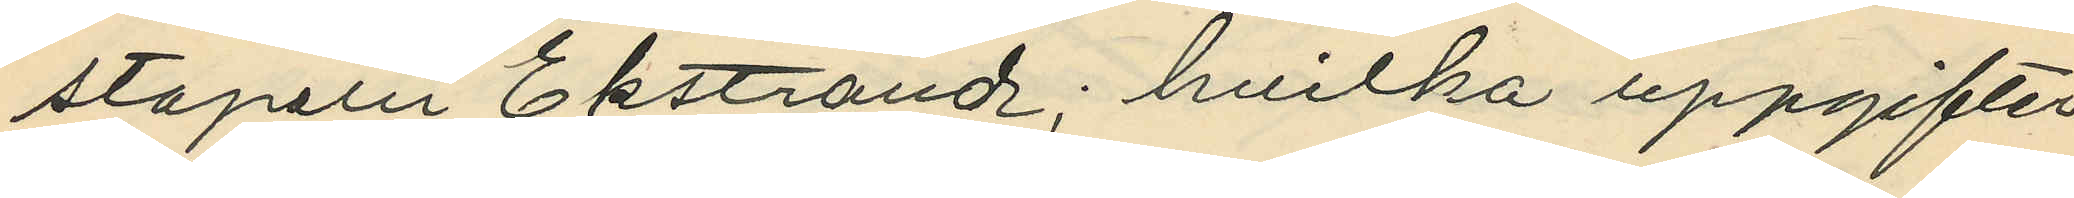stapeln Ekstrand; hvilka uppgifter
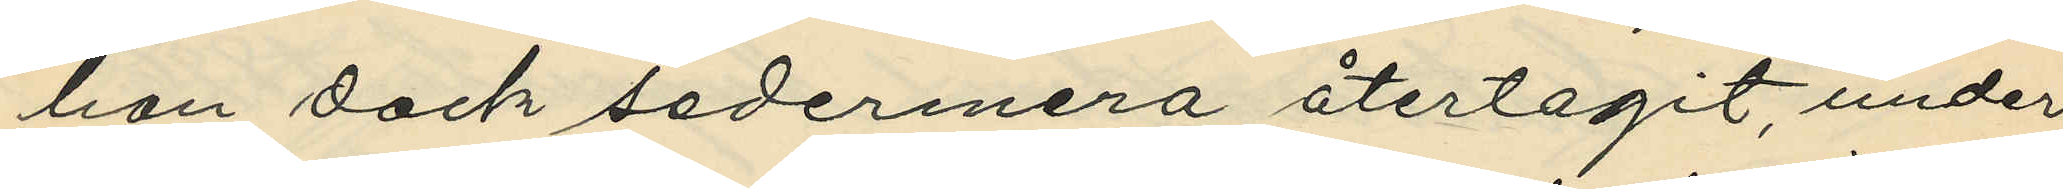han dock sedermera återtagit, under
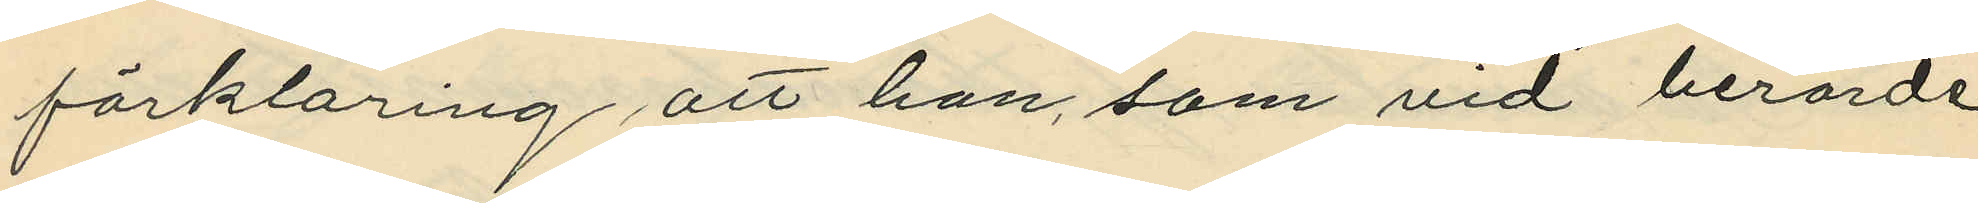förklaring att han, som vid berörde
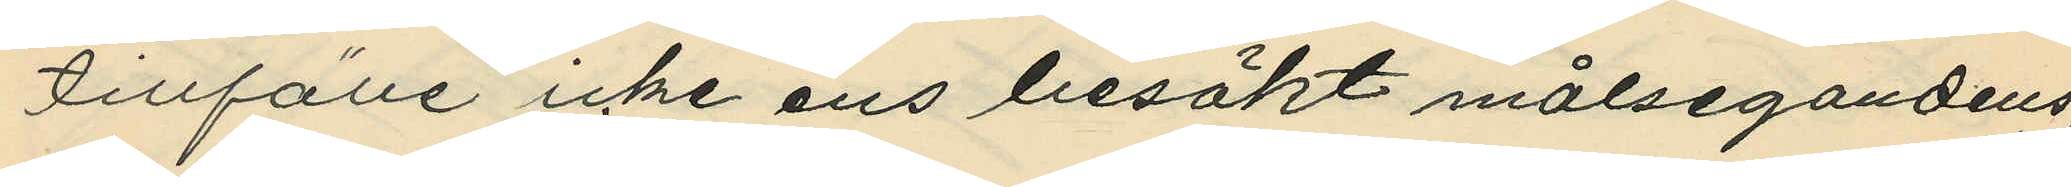tillfälle icke ens besökt målsegandens,
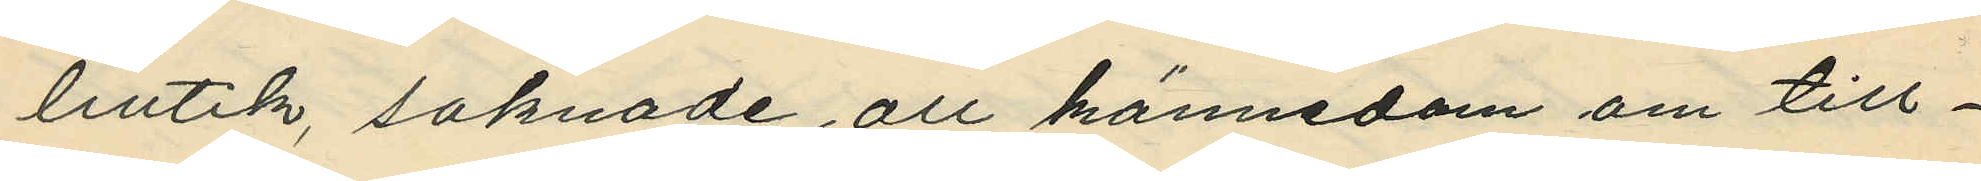butik, saknade all kännedom om till¬
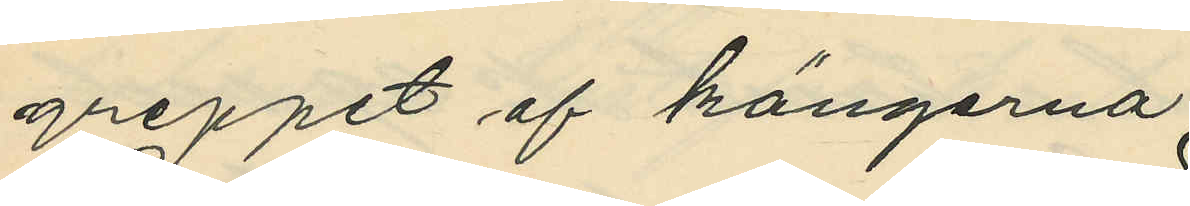greppet af kängerna.
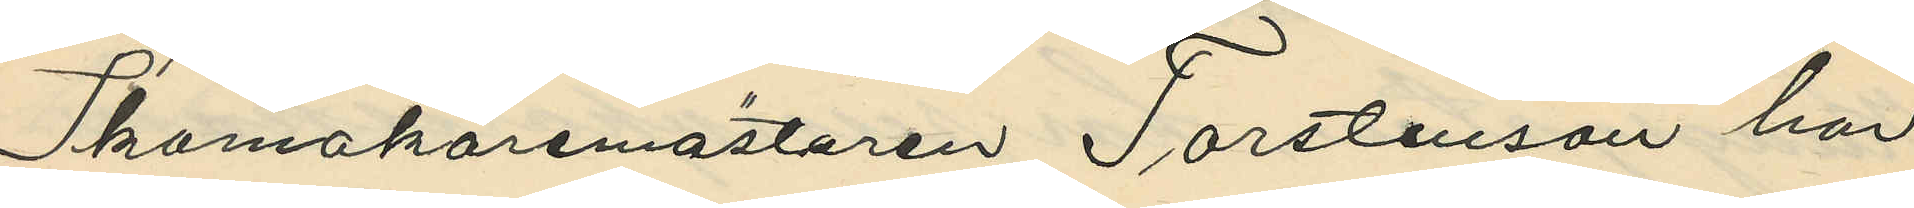Skomakaremästaren Torstenson har
